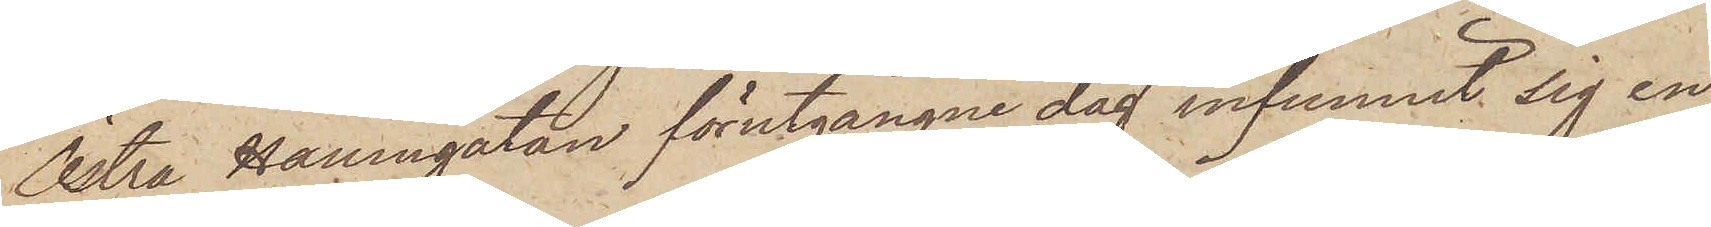Östra Hamngatan förutgångne dag infunnit sig en
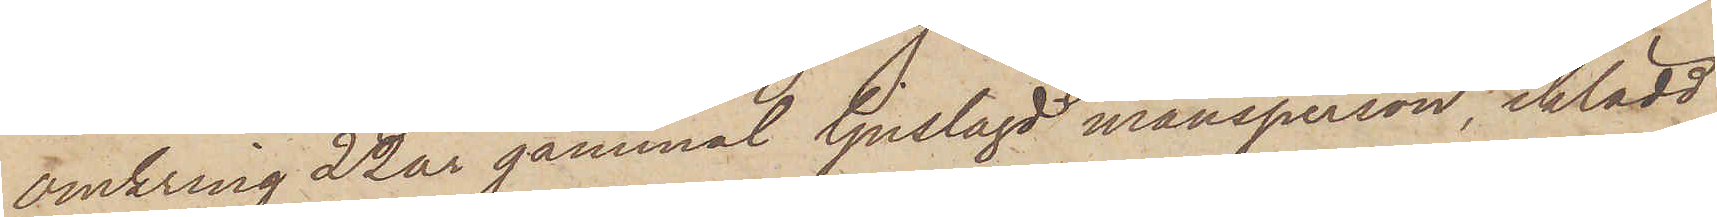omkring 22 år gammal ljuslagd mansperson, iklädd
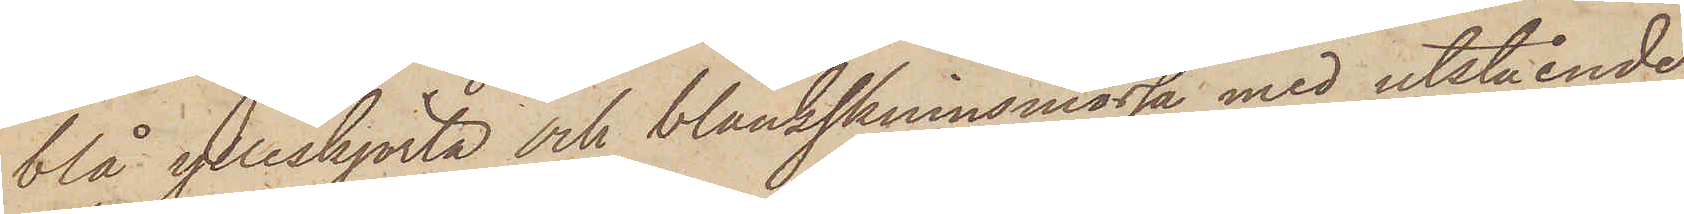blå ylleskjorta och blankskinnsmössa med utstående
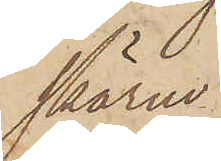skärm
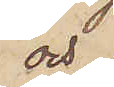och
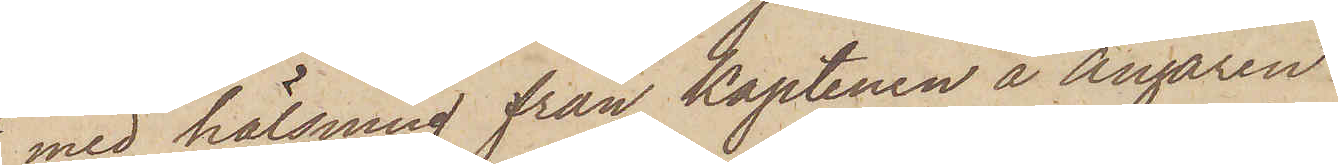med hälsning från Kaptenen å Ångaren
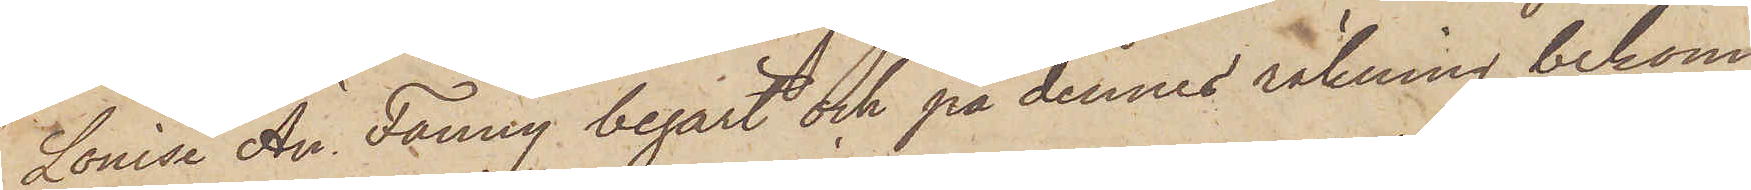Louise An Fanny begärt och på dennes räkning bekom¬
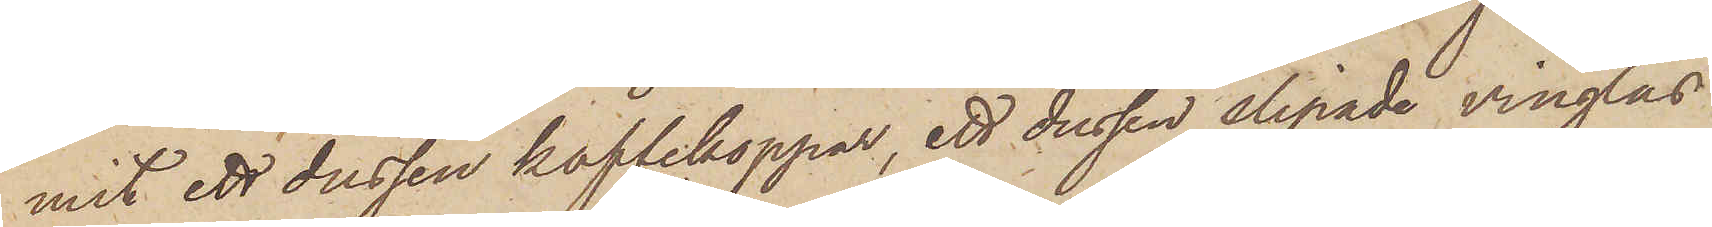mit ett dussin kaffekoppar, ett dussin slipade vinglas
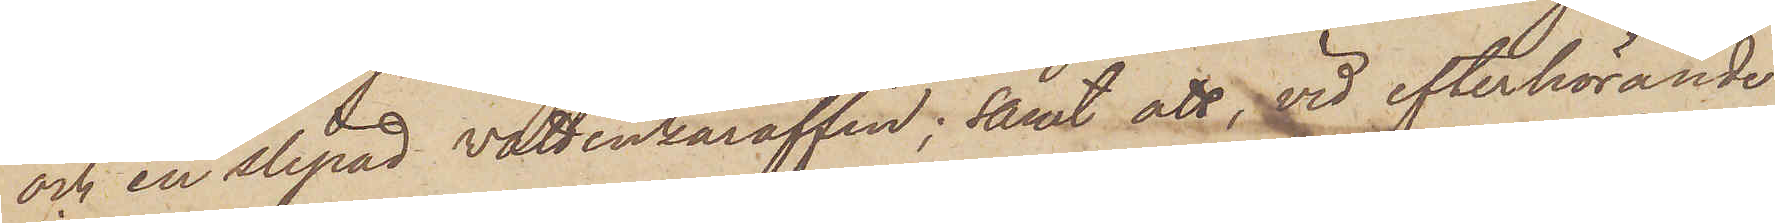och en slipad vattenkaraffin; samt att, vid efterhörande
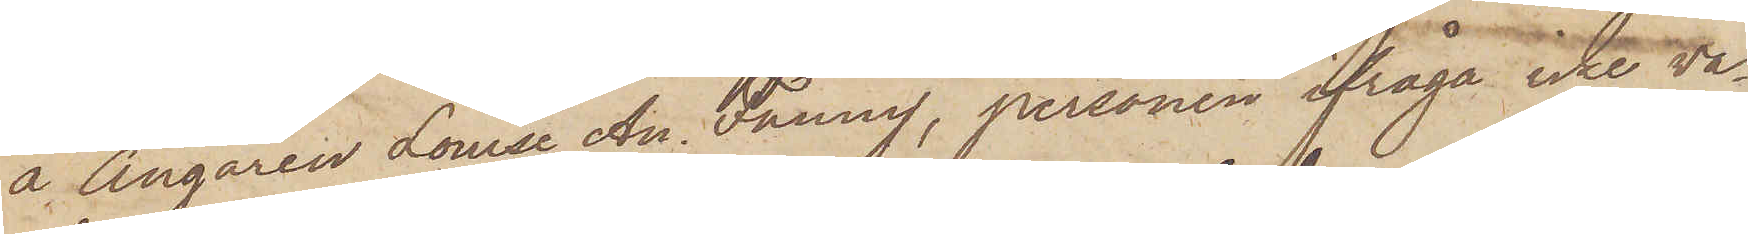å Ångaren Louise An Fanny, personen ifråga icke va¬
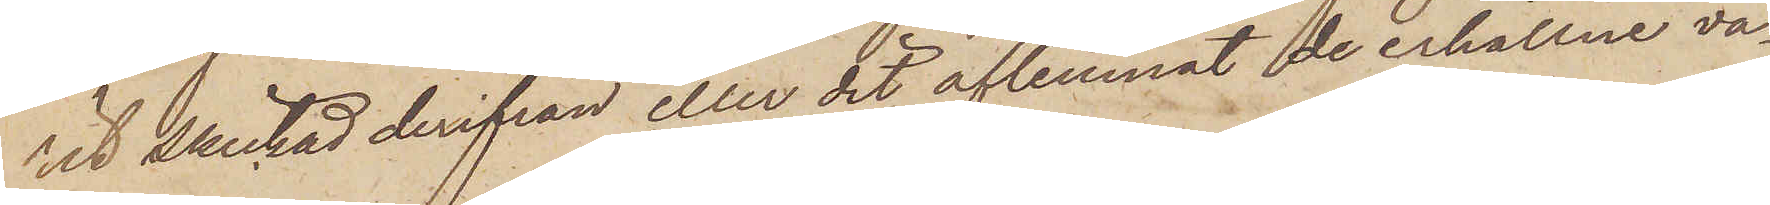rit skickad derifrån eller dit aflemnat de erhållne va¬
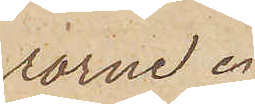rorne.
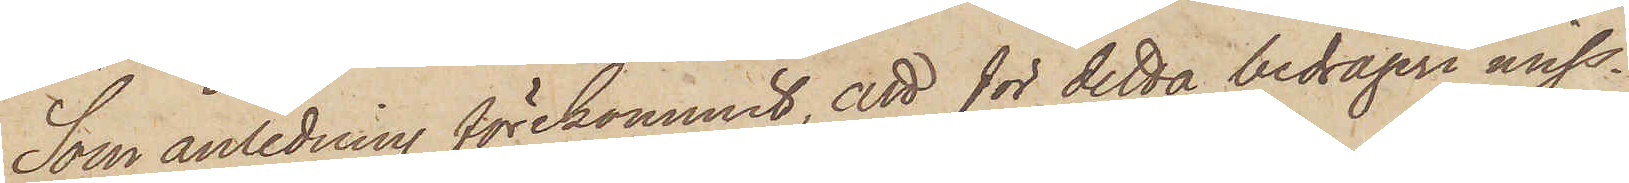Som anledning förekommit, att för detta bedrägeri miss¬
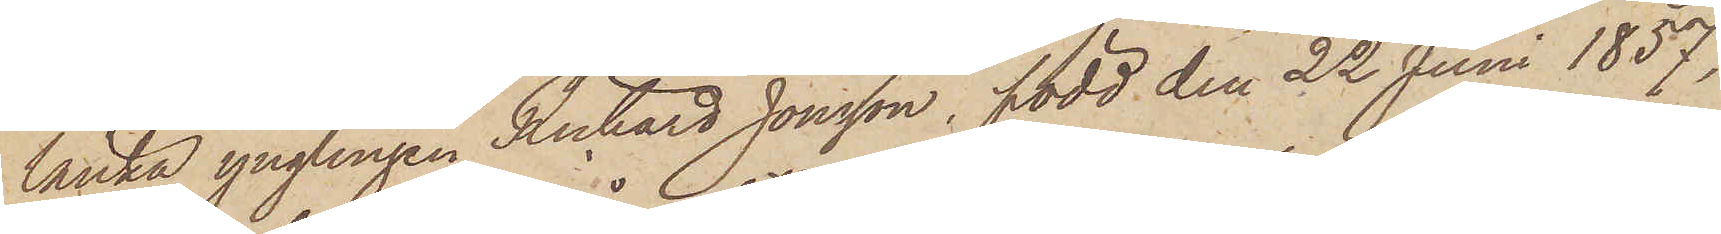tänka ynglingen Richard Jonsson, född den 22 Juni 1857,
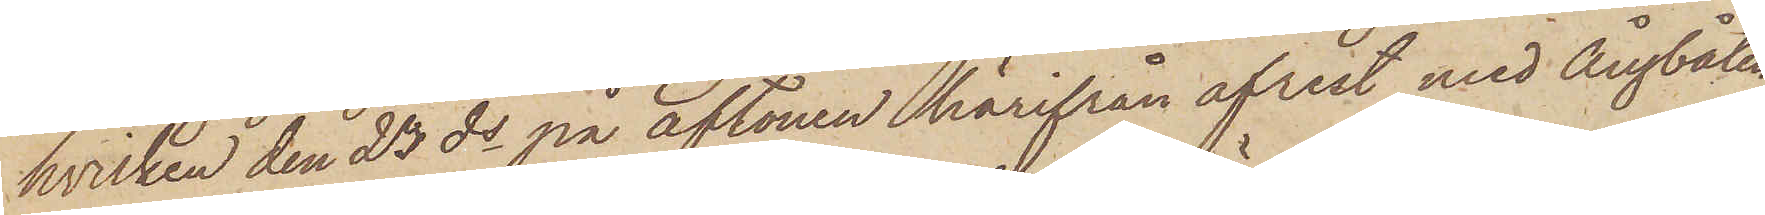hvilken den 23 ds på aftonen härifrån afrest med Ångbåten
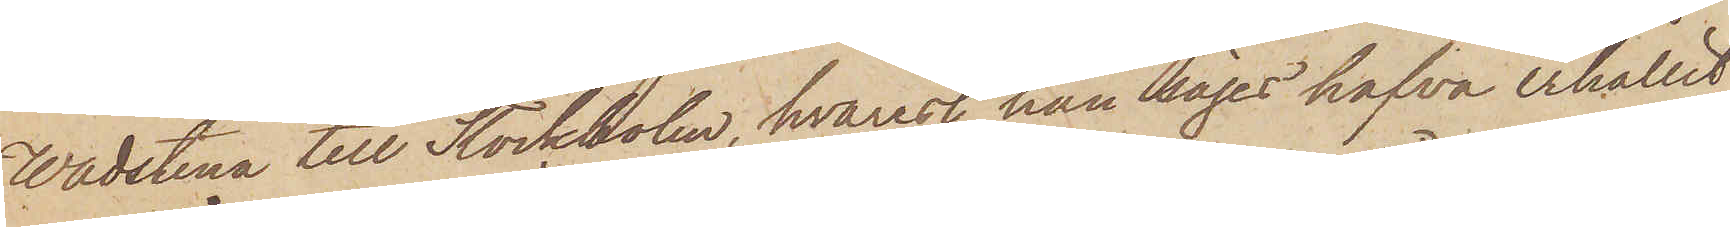Wadstena till Stockholm, hvarest han säges hafva erhållit
